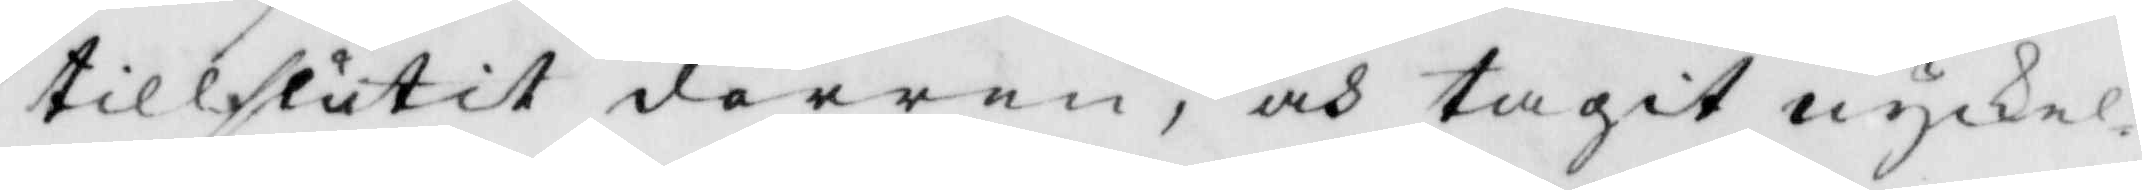tillslutit dörren, och tagit nykel¬
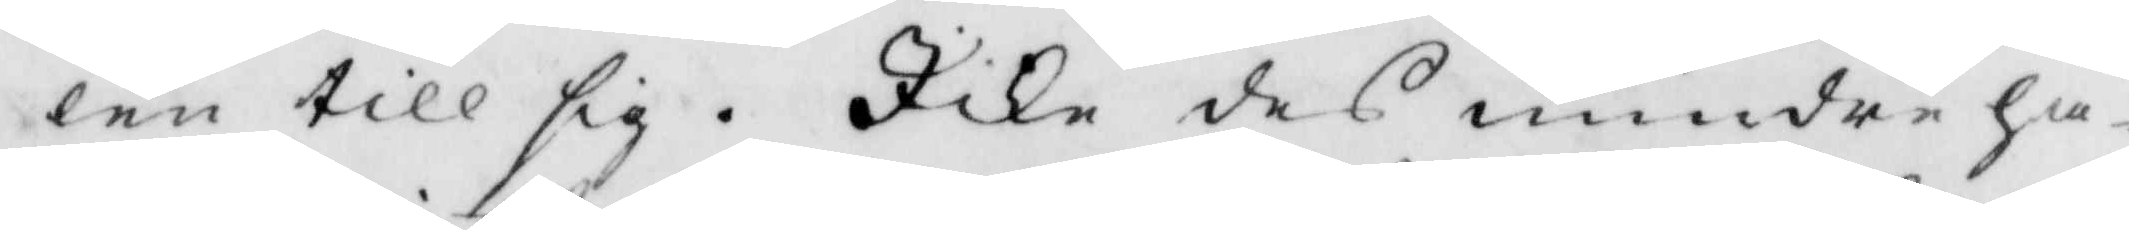len till sig. Ike des mindre ha¬
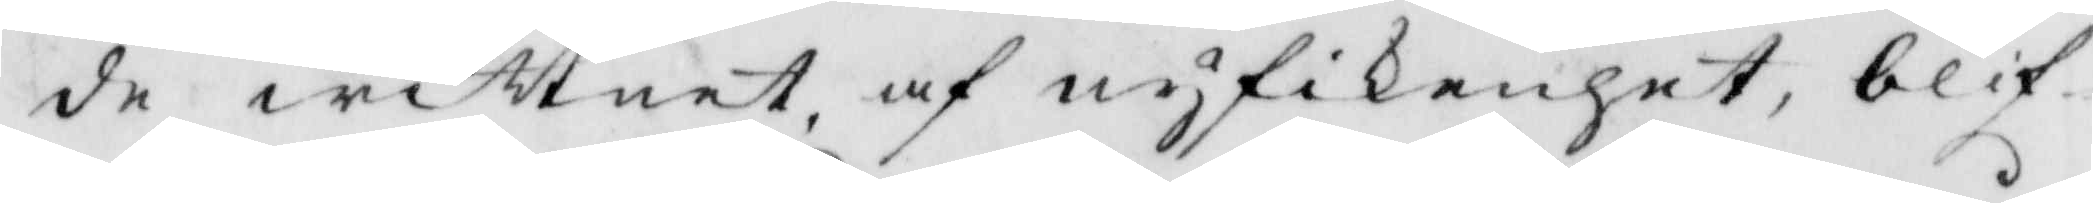de wittnet, af nyfikenhet, blif¬
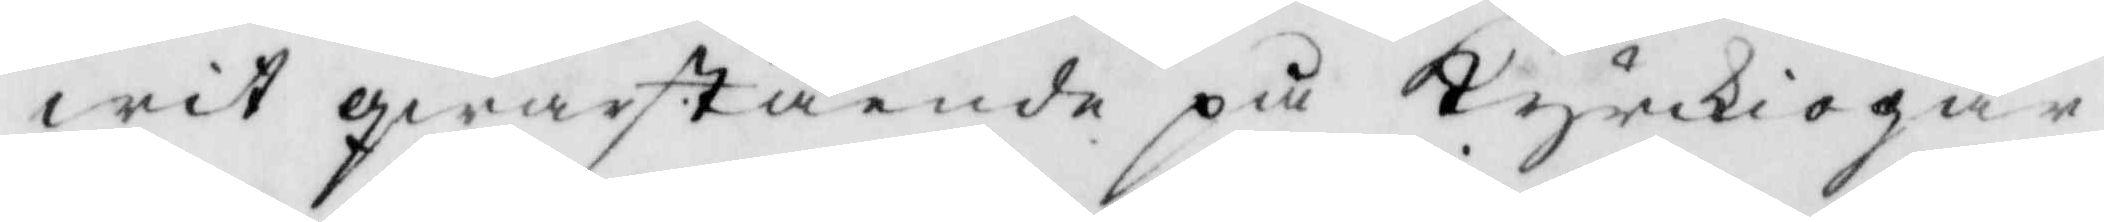wit qwarstående på Kyrkiogår¬
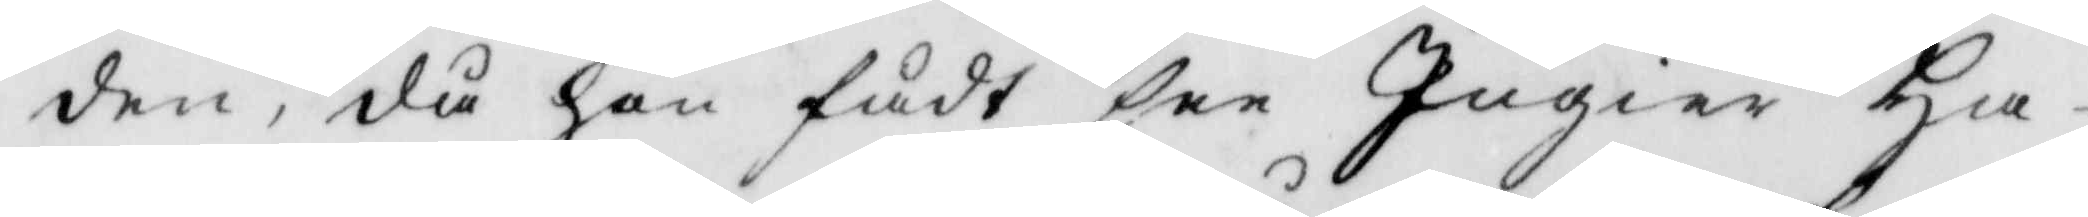den, då han fådt see Ingier Ha¬
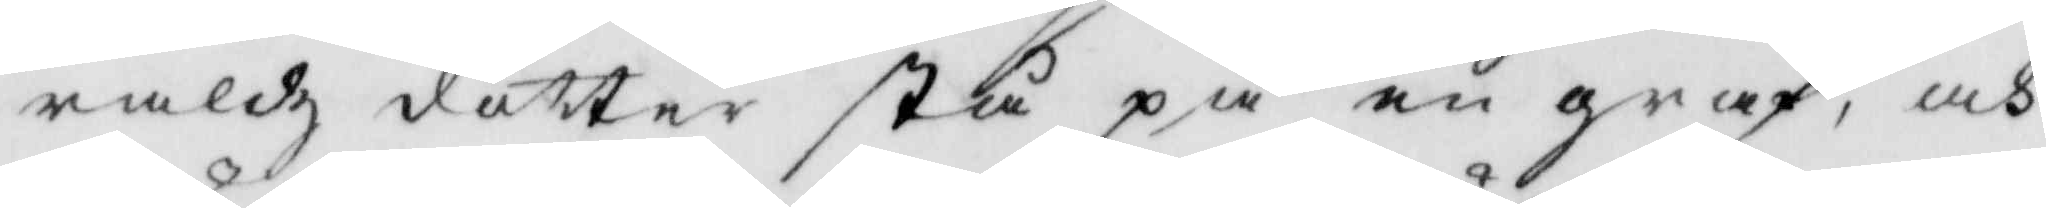raldz dotter stå på en graf, och
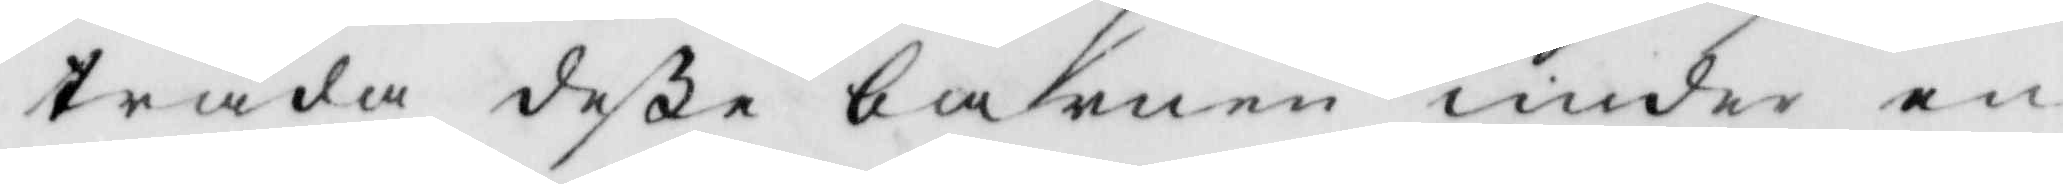träda deße barnen under en
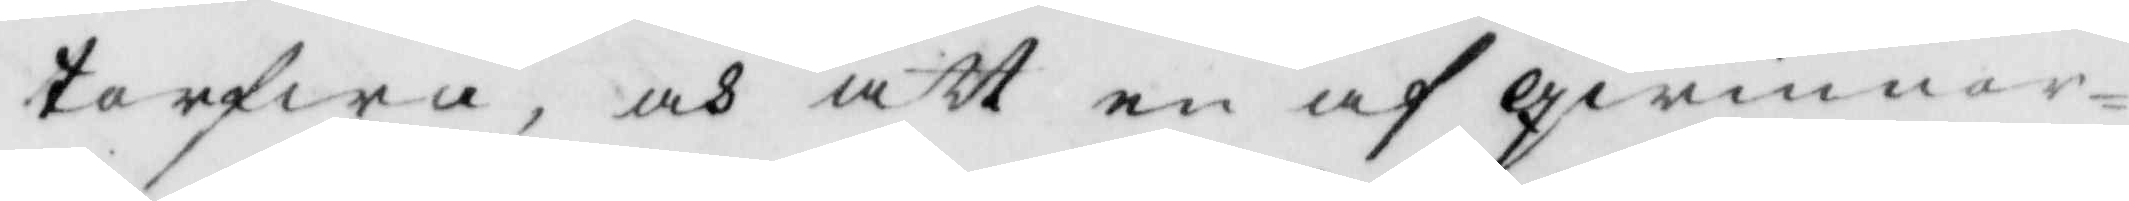torfwa, och att en af qwinnor¬
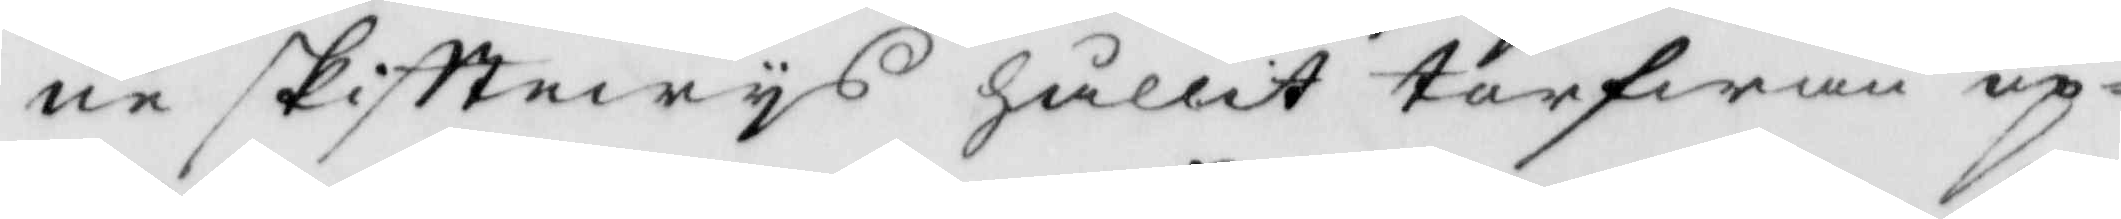ne skifttwys hållit torfwan up¬
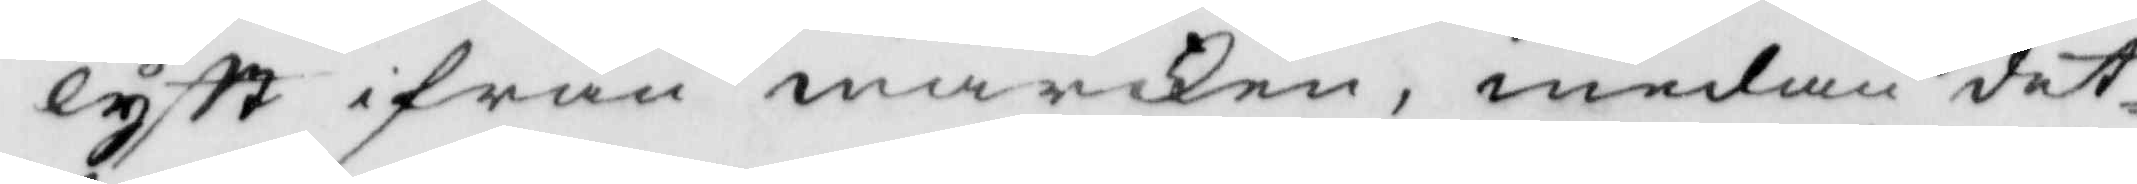lyft ifrån marken, medan det¬
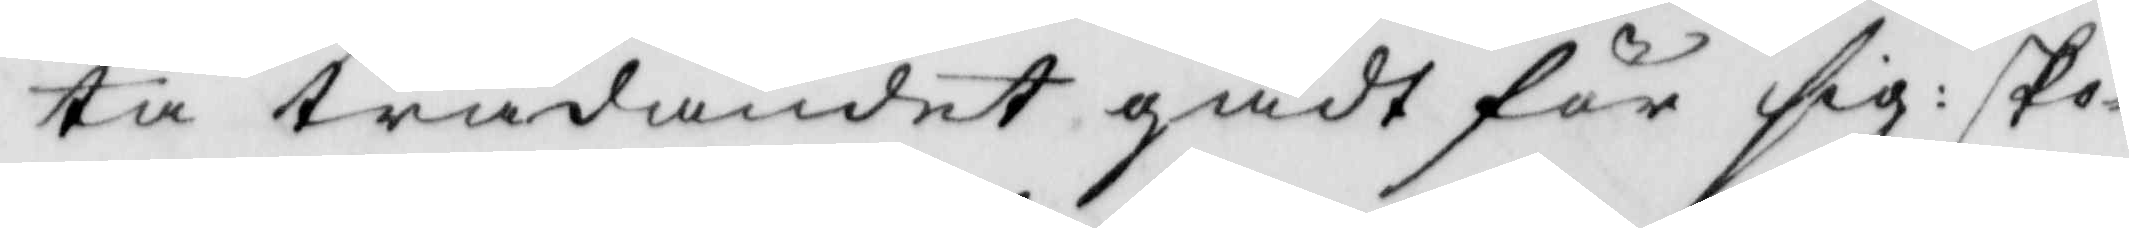ta trädandet gådt för sig: sko¬
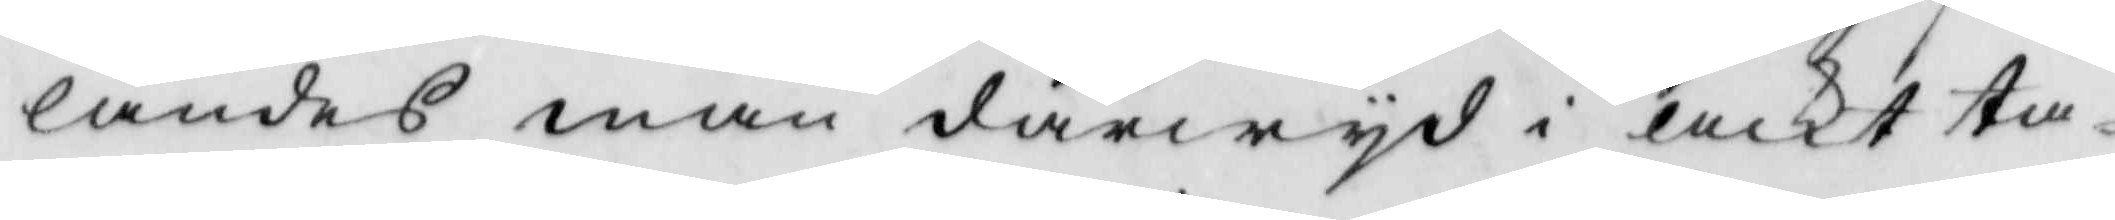landes man därwyd i ackt ta¬
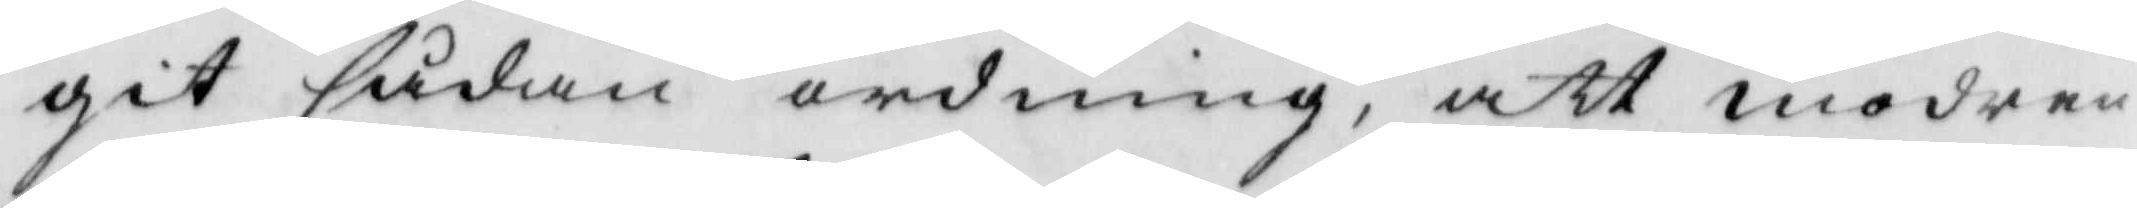git sådan ordning, att modren
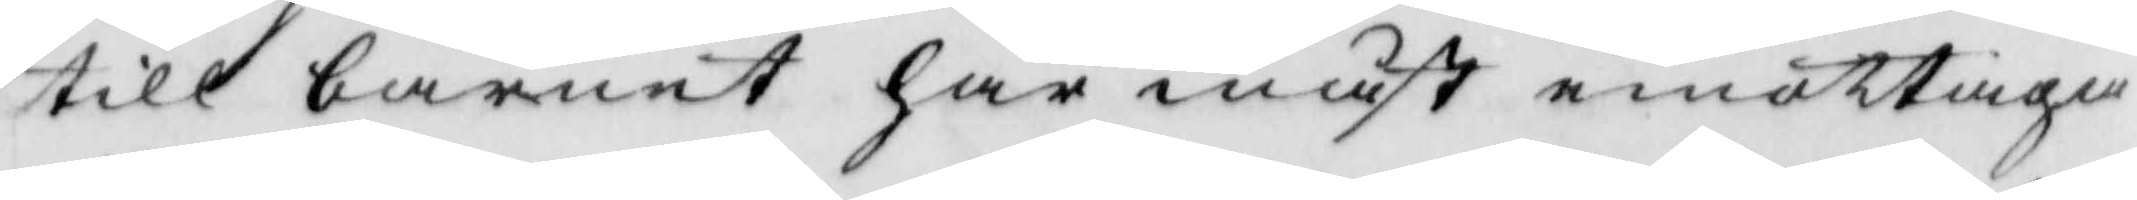till barnet har måst emottaga
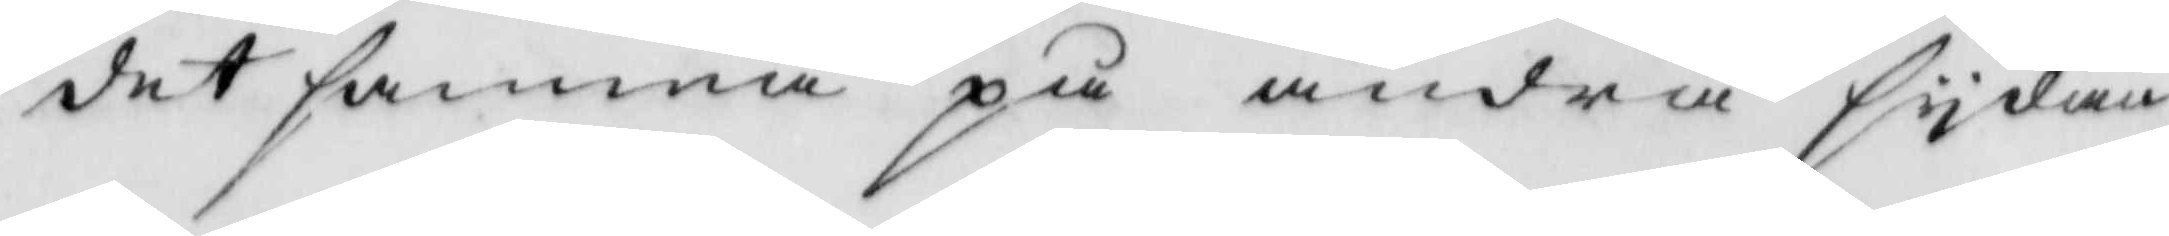det samma på andra sydan
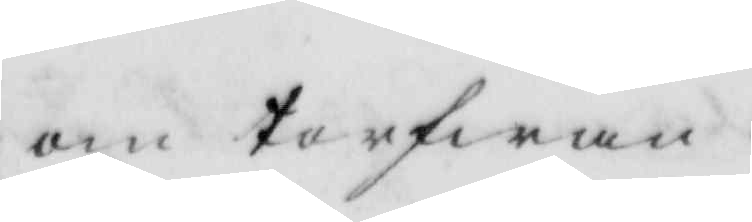om torfwan.
